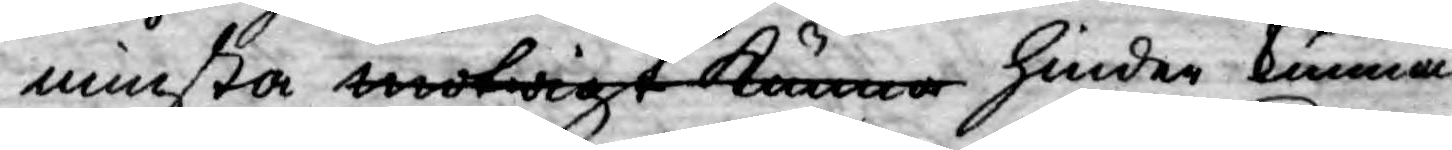minsta motwigt kunna hinder kunna
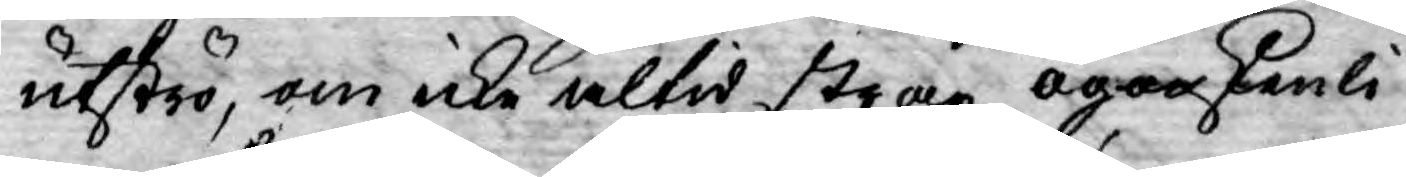utströ, om icke altid strax ögonskenli¬
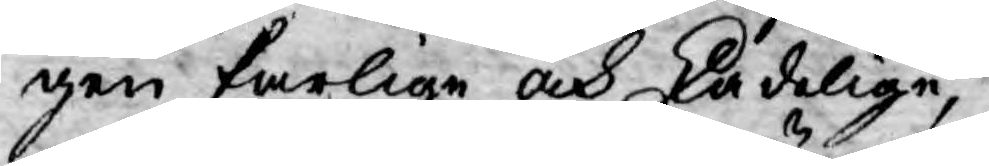gen farlige och skadelige, 
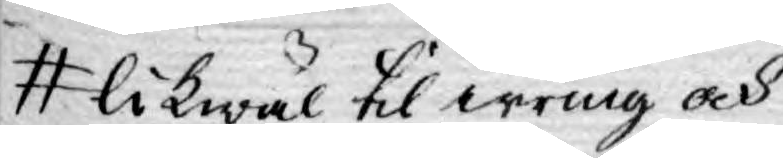likwäl til irring och
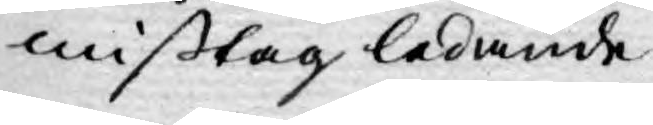mißtag ledande
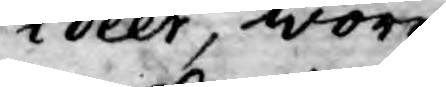idéer, wore
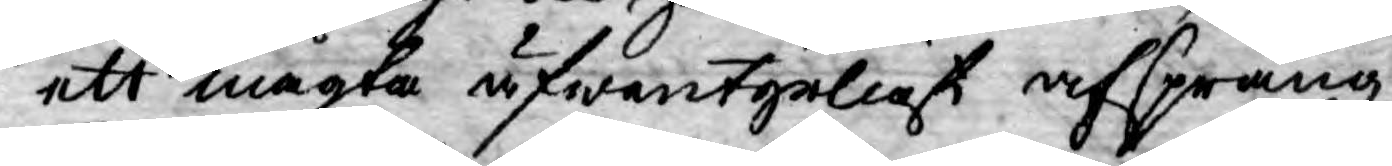ett mägta äfwentyrligt afsprång
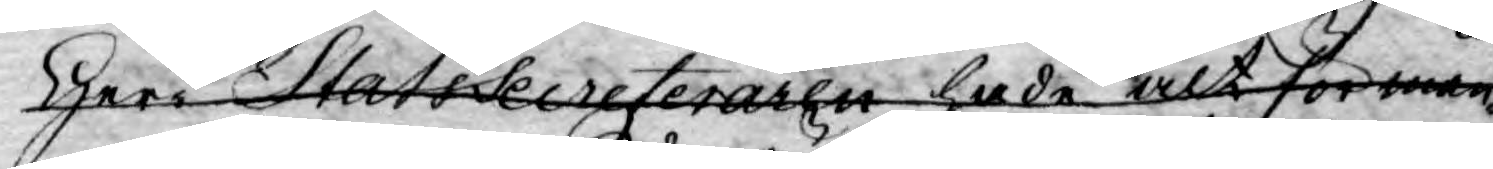Herr StatsSecreteraren hade alt för mån¬
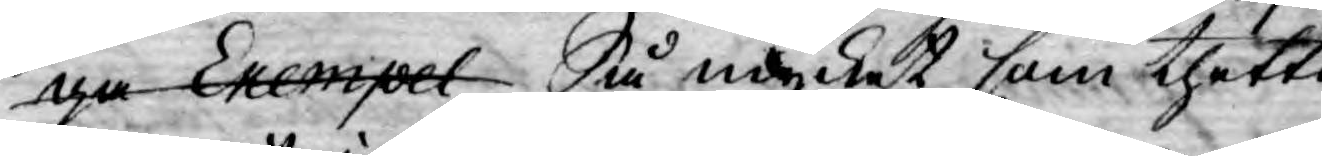ga Exempel Så mycket som thetta
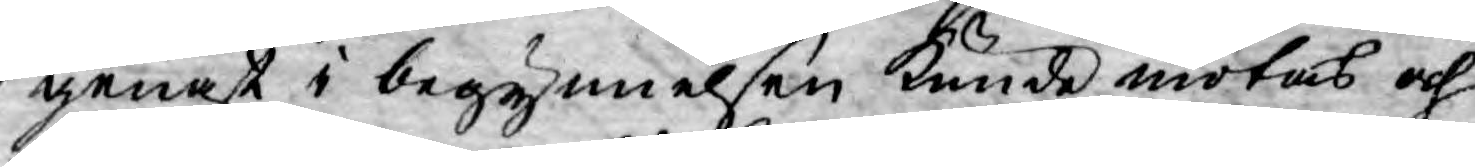genast i begynnelsen kunde motas och
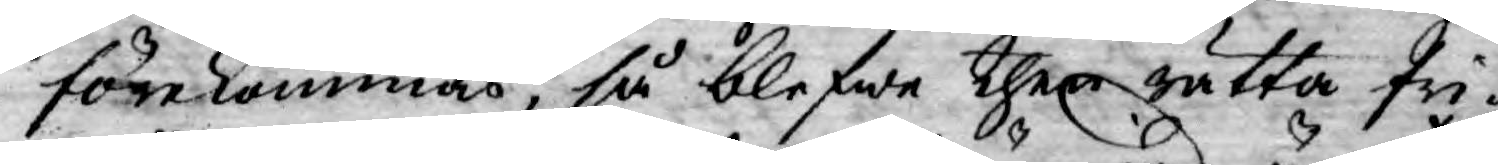förekommas, så blefwe then rätta fri¬
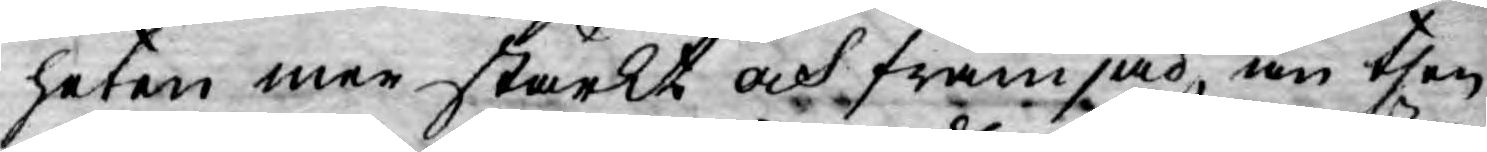heten mer stärkt och främjad, än then
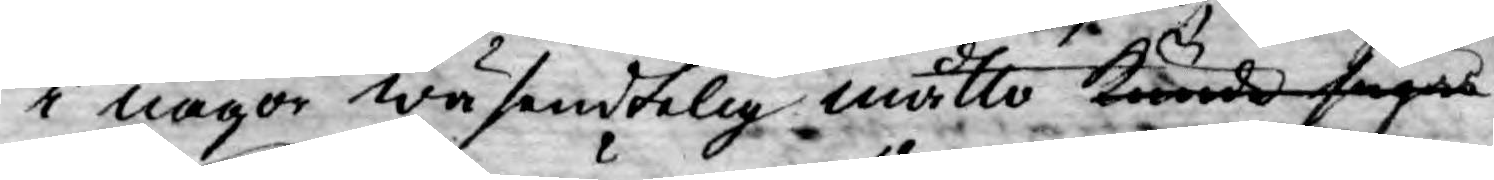i någor wäsendtelig måtto kunde sägas
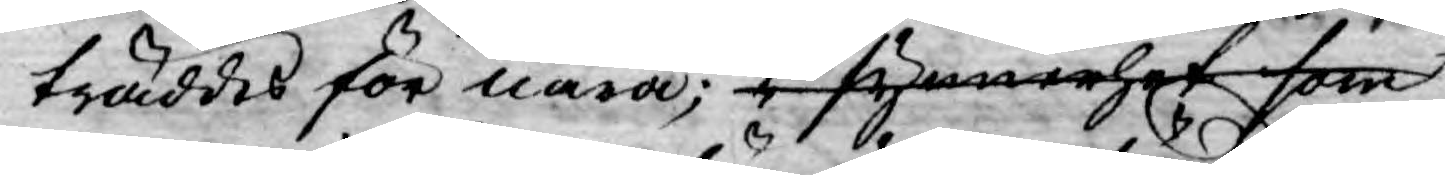träddes för nära; i synnerhet som
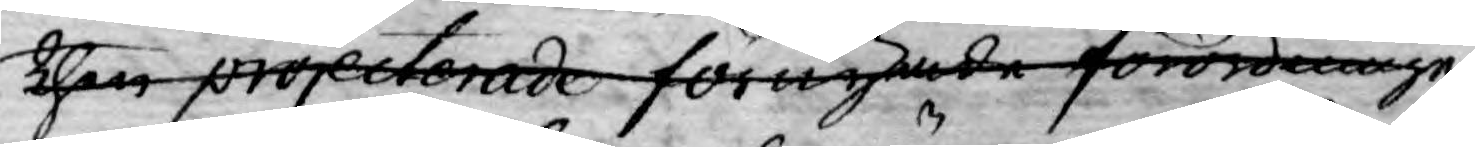then projecterade förnyade förordningen
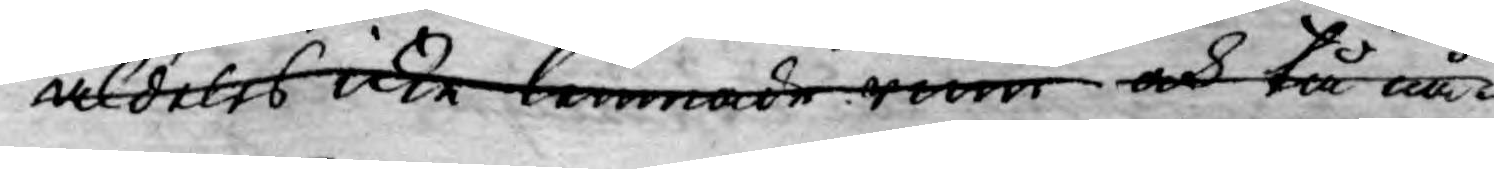aldeles icke lemnade rum och tå nå¬
